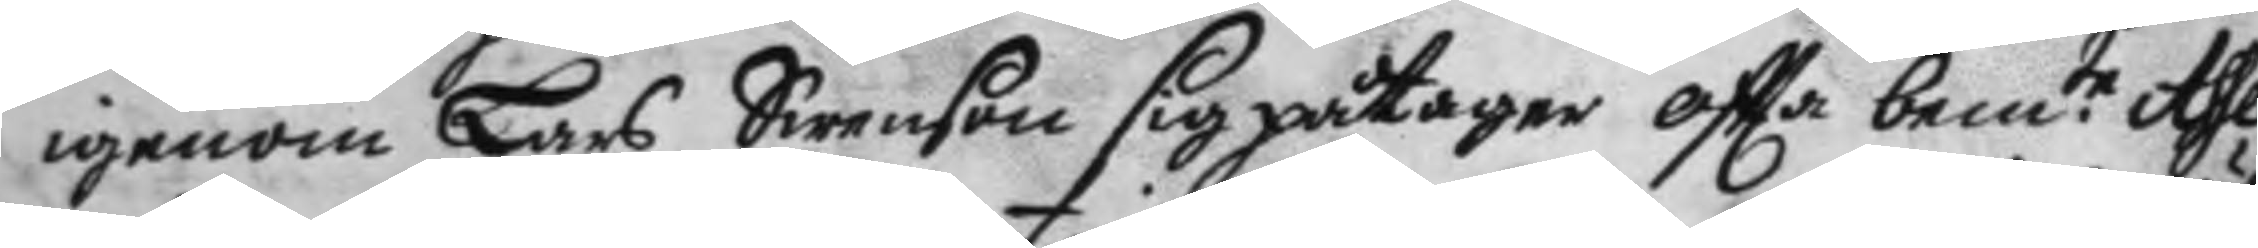igenom Lars Swenson sig påtager oftta bem.te Asse¬
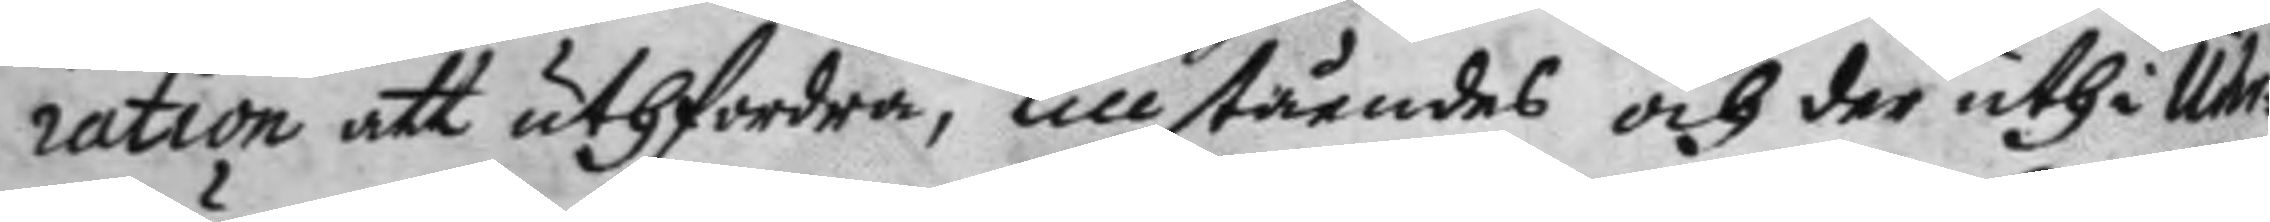ration att uthfordra, tillståendes och der uthi Uhr¬
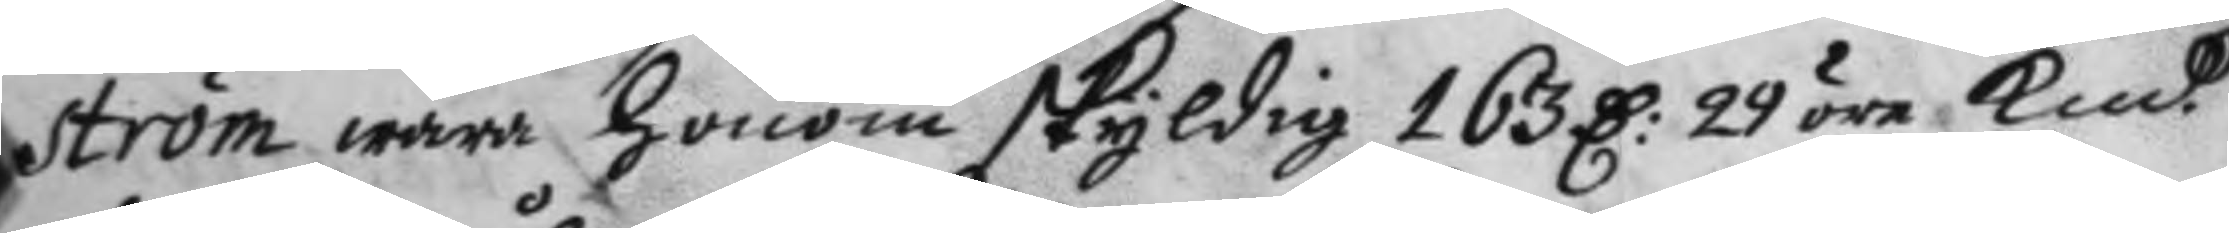ström wara honom skyldig 163 D: 29 öre Kmt
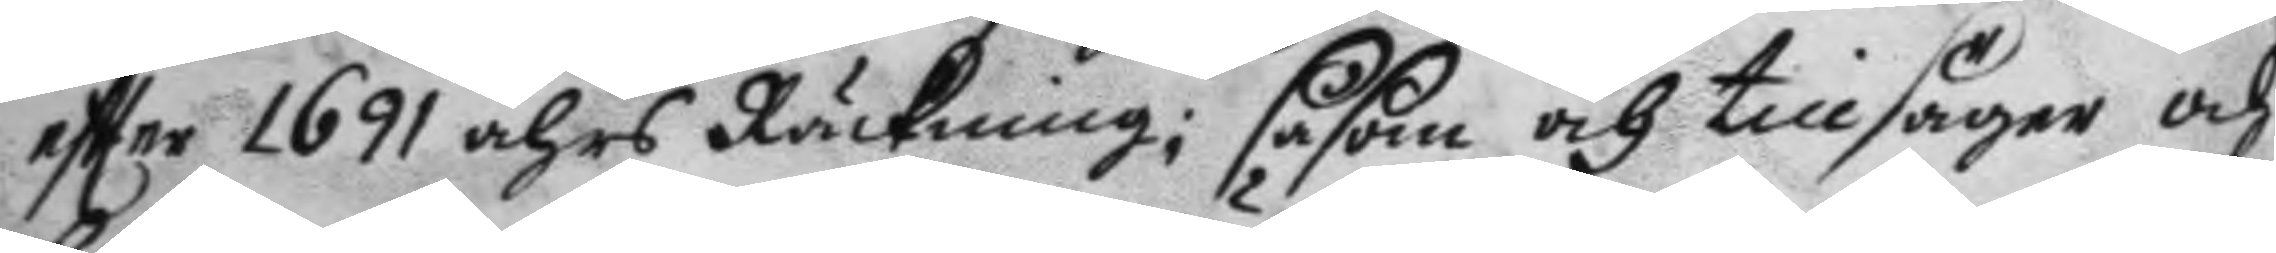eftter 1691 åhrs Räcknng; såsom och tillsäger och
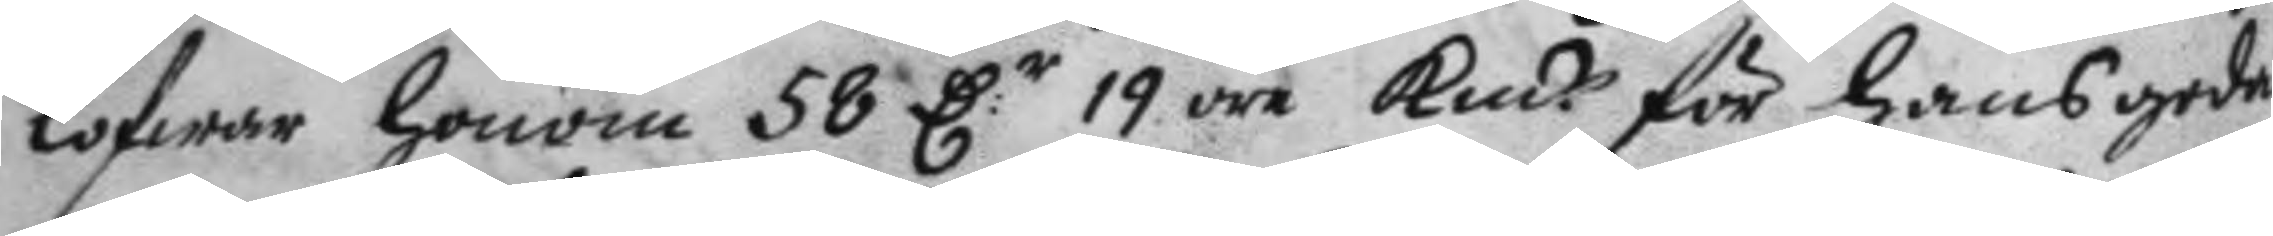lofwar honom 58 D:r 19 öre Kmt för hans goda
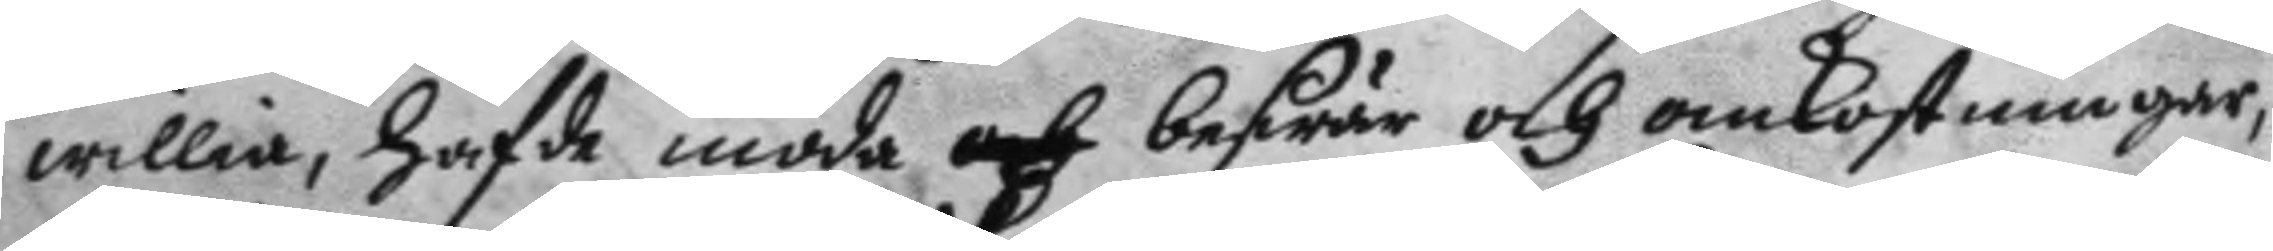willia, hafde möda och beswär och omkostningar,
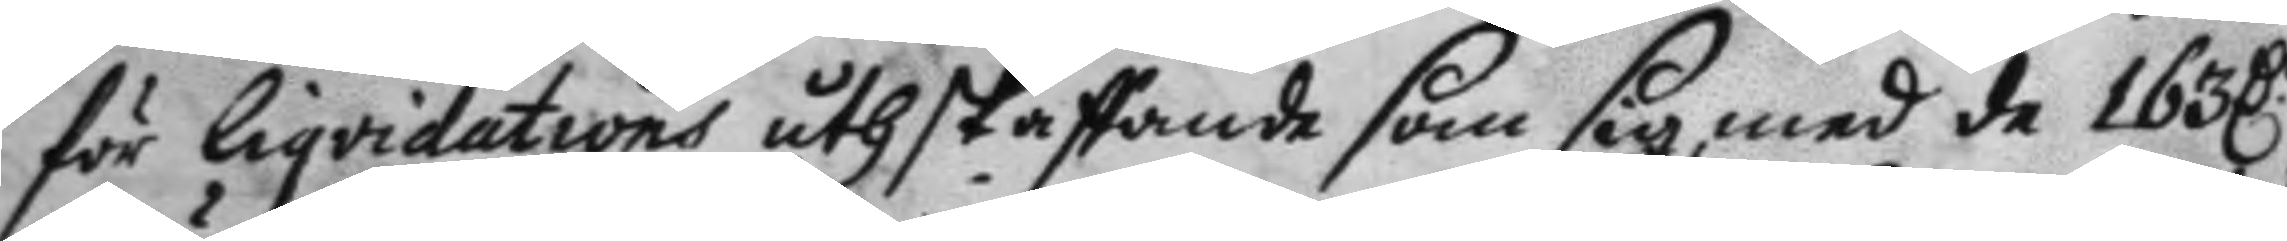för liqvidations uthskaffande som sig med de 163 D:r
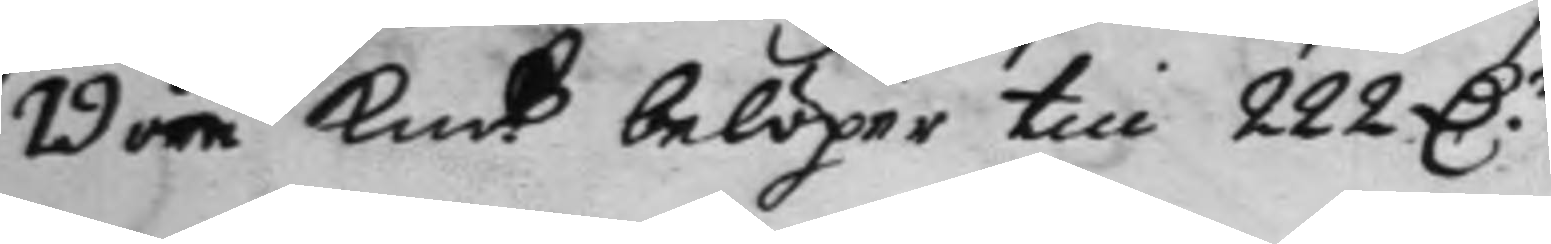19 öre Kmt belöper till 222 D:r 
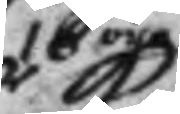16 öre
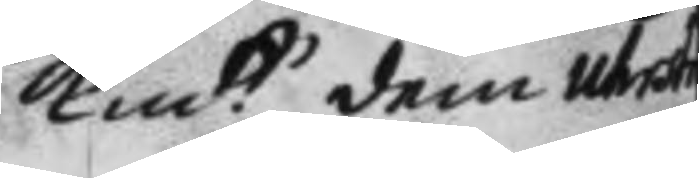kmt dem ut
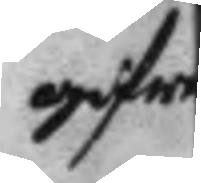gifwer
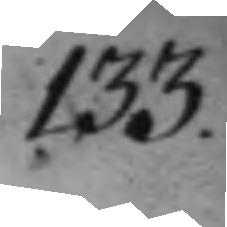133.
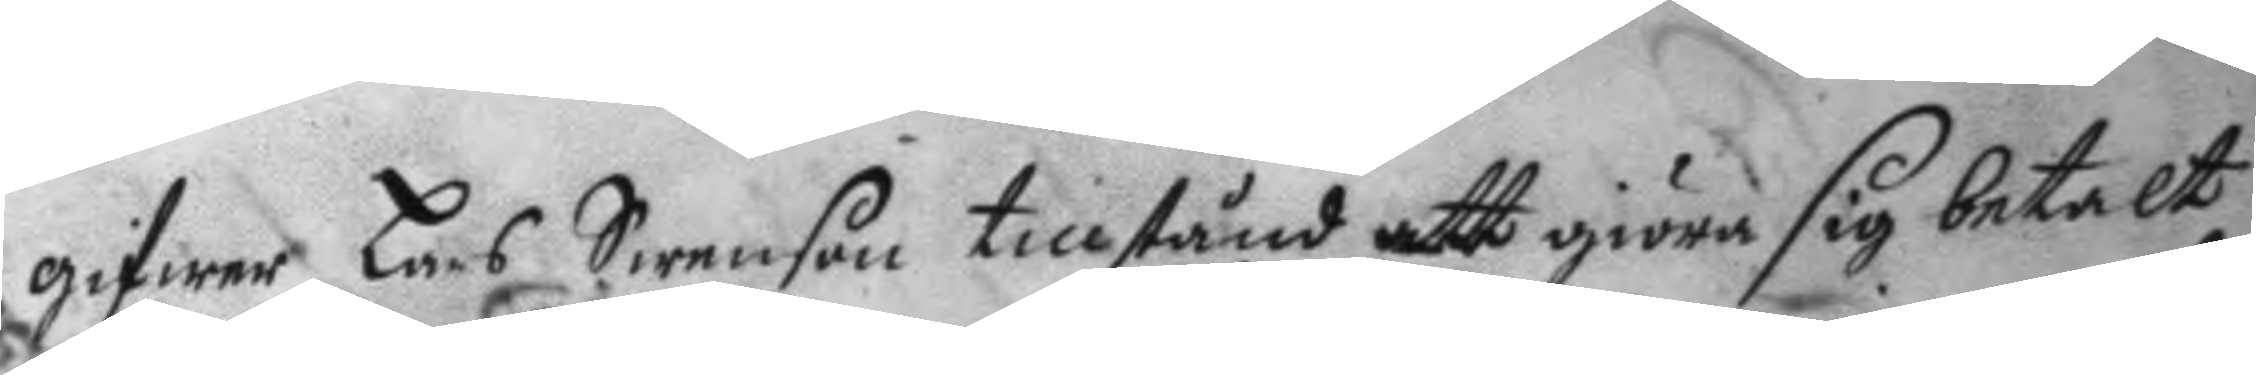gifwer Lars Swenson tillstånd att giöra sig betalt
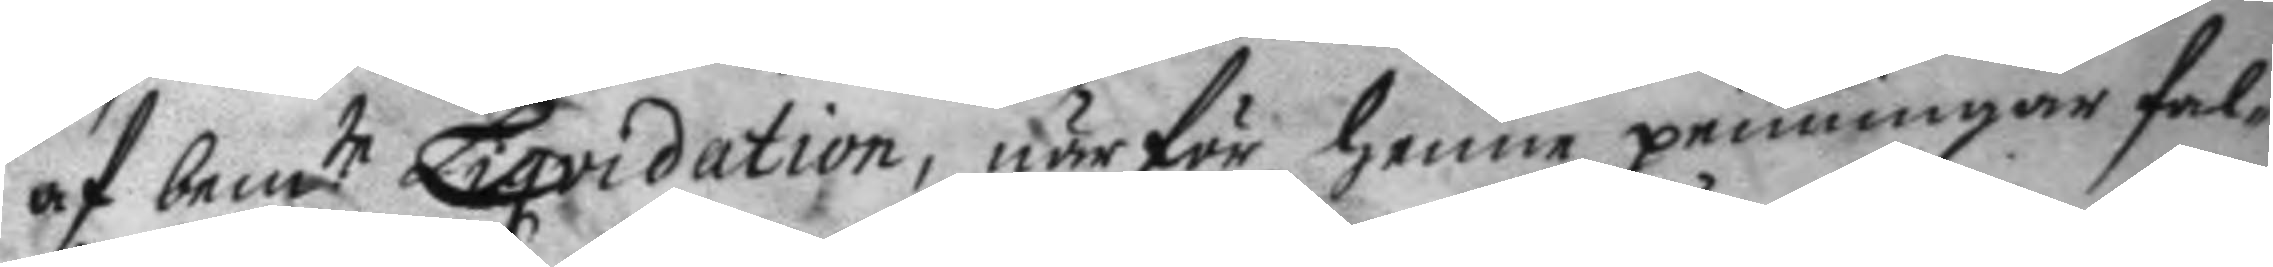af bem.te Liqvidation, när fr henne penningar fal¬
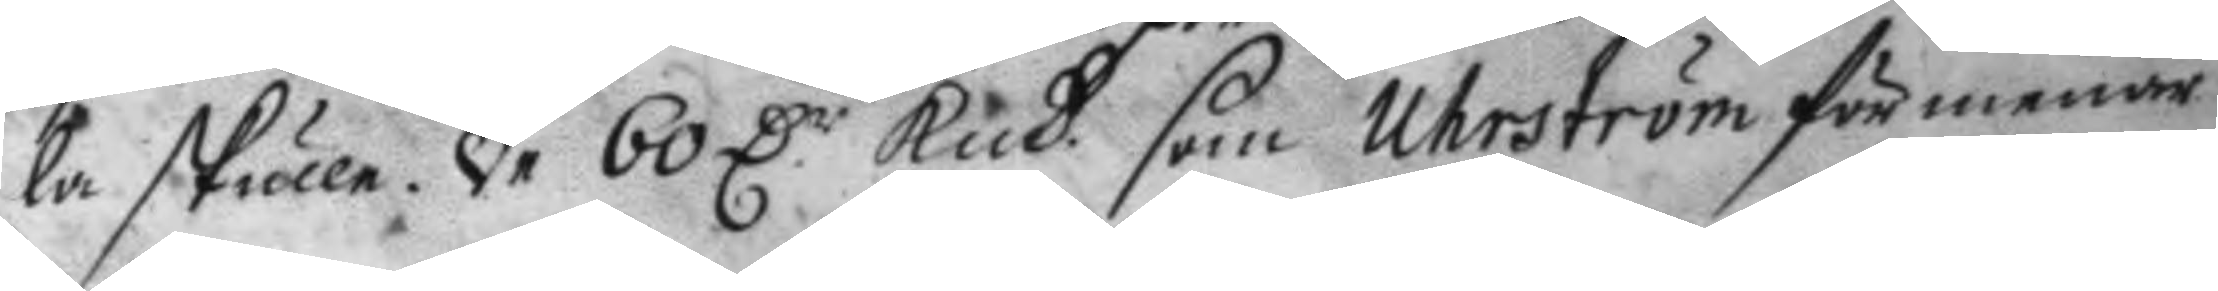la skulle. De 60 D.r Kmt som Uhrström förmenar
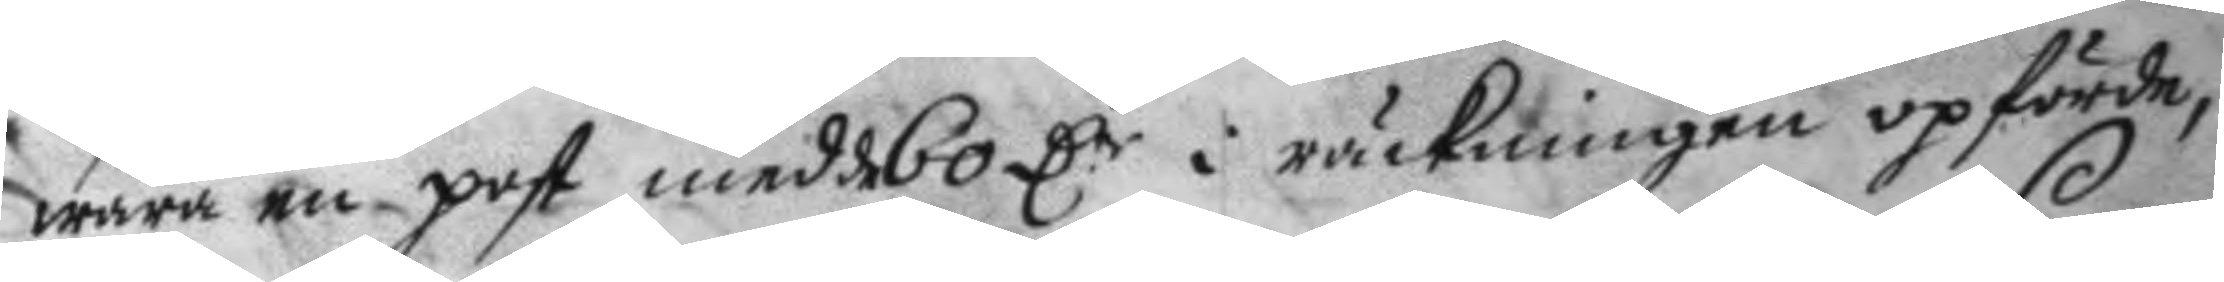wara en post med 60 D:r i räckningen opförde,
